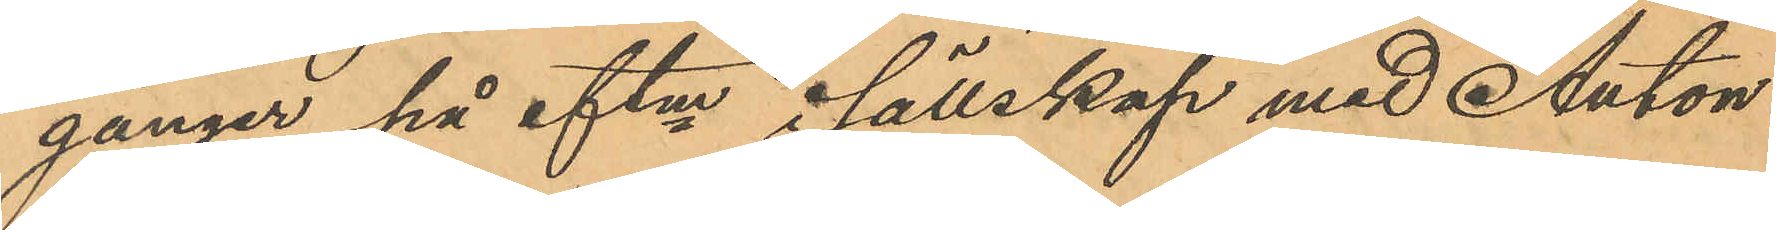gånger på eftm i sällskap med Anton
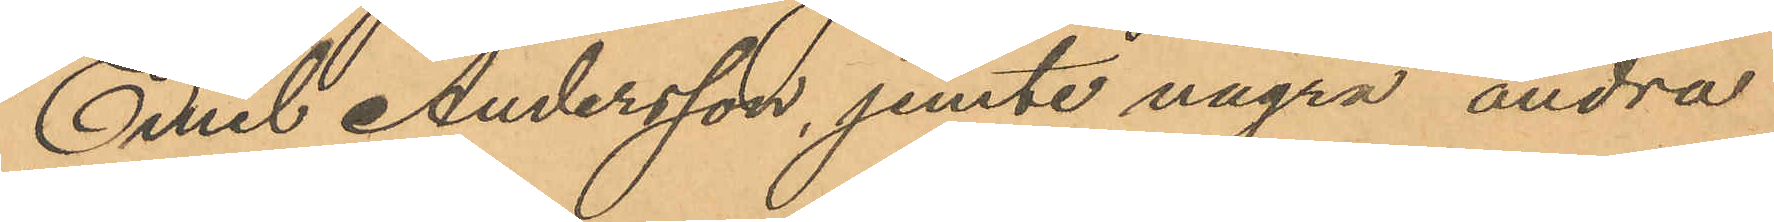Emil Andersson, jemte några andra
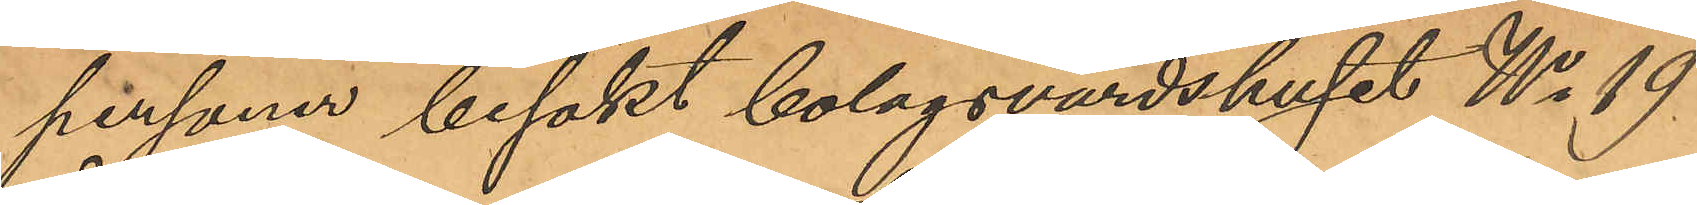personer besökt bolagsvärdshuset No 19
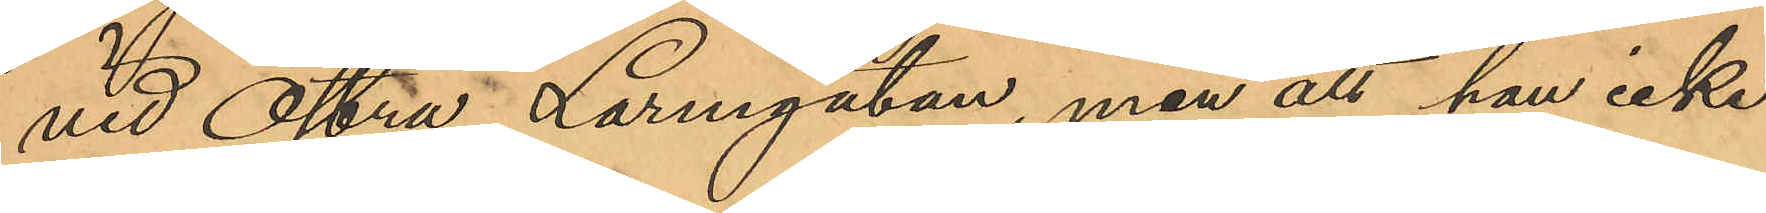vid Östra Larmgatan, men att han icke
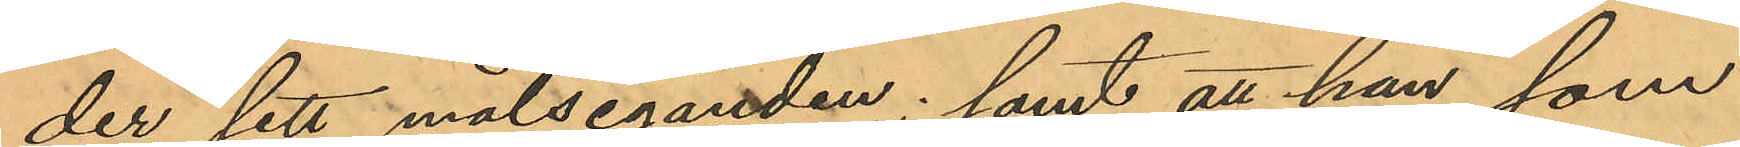der sett målseganden; samt att han, som
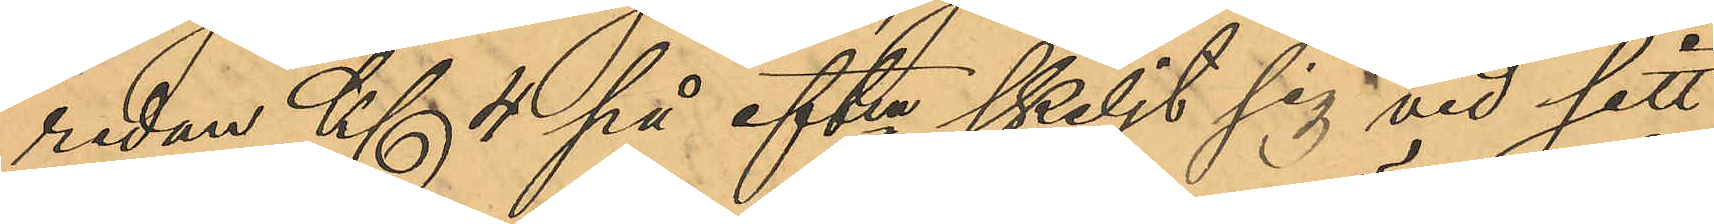redan Kl. 4 på eftm skiljt sig vid sitt
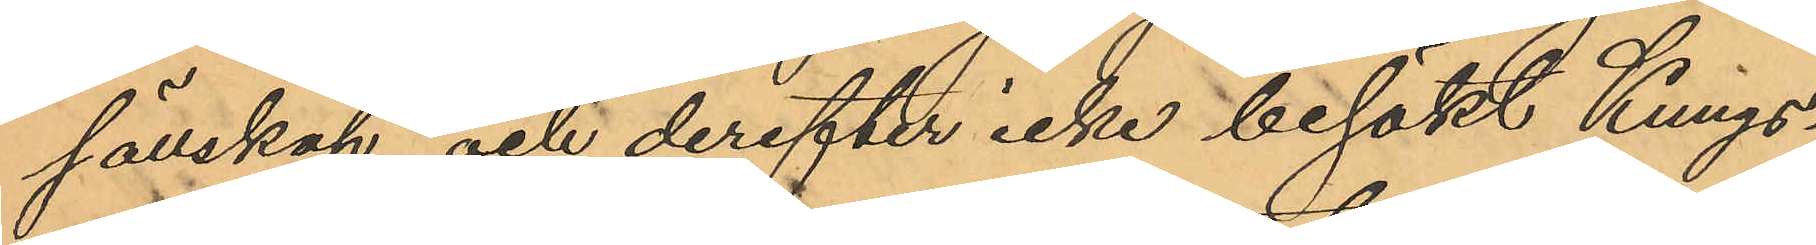sällskap och derefter icke besökt Kungs¬
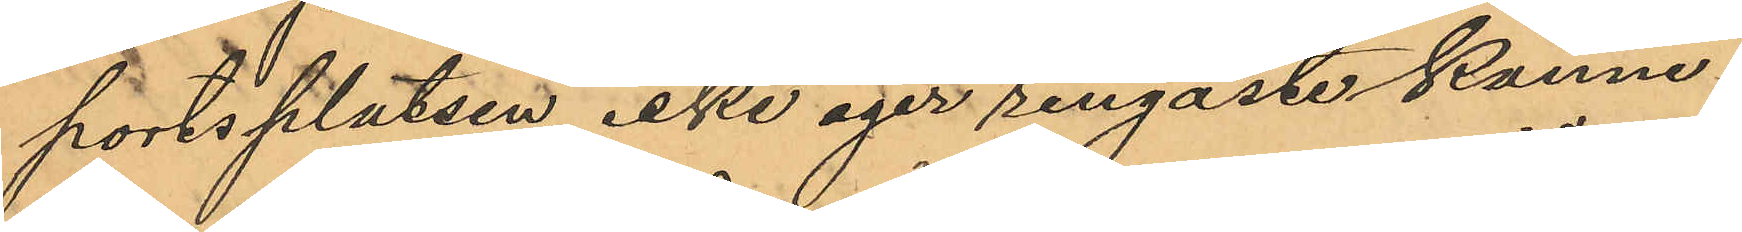portsplatsen icke eger ringaste känne¬
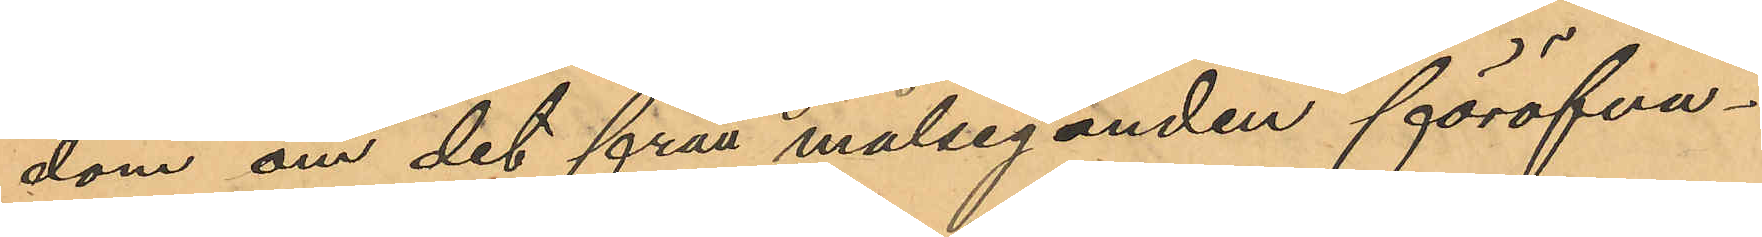dom om det från målseganden föröfva¬
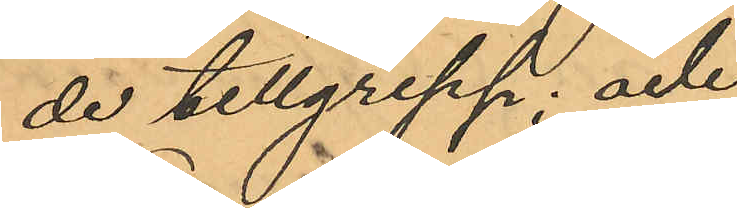de tillgrepp; och
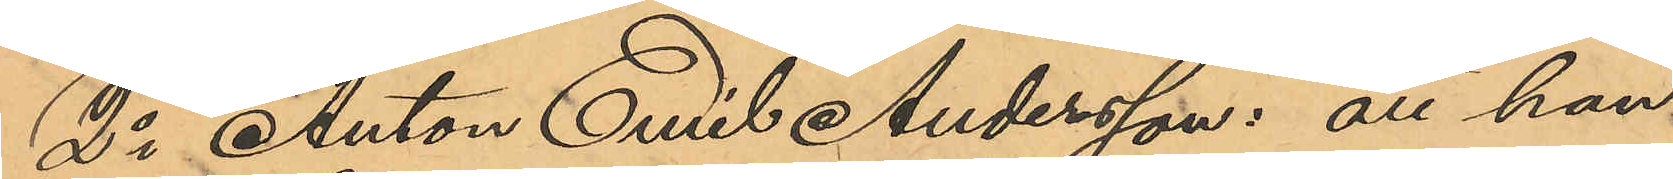2o Anton Emil Andersson: att han
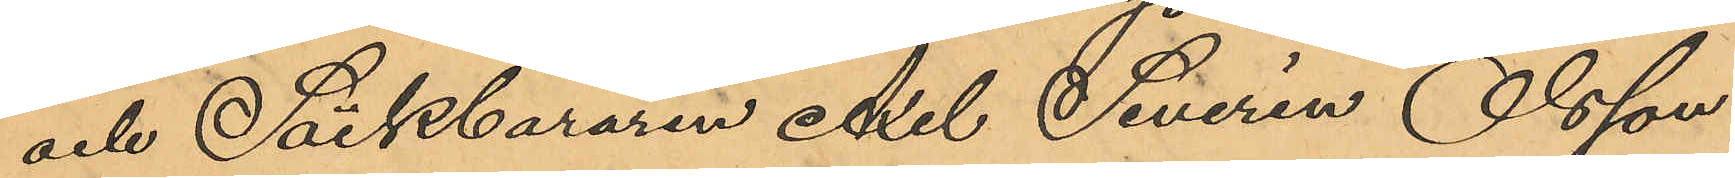och Säckbäraren Axel Severin Olsson
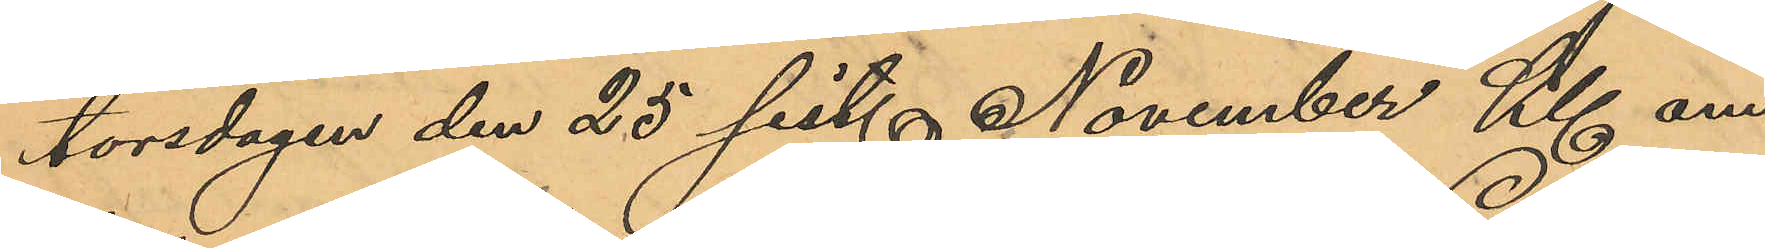torsdagen den 25 sist. November Kl. om¬
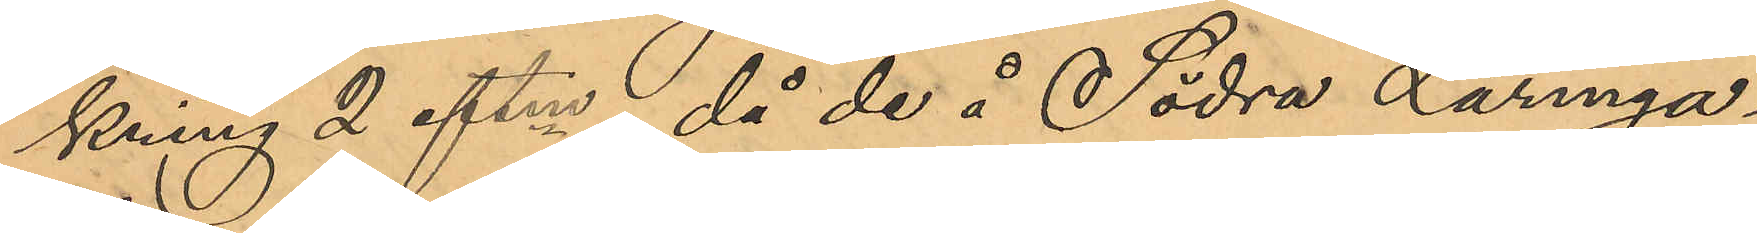kring 2 eftm, då de å Södra Larmga¬
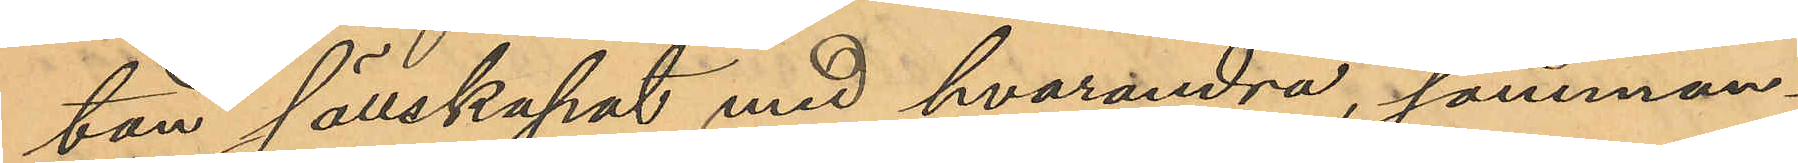tan sällskapat med hvarandra, samman¬
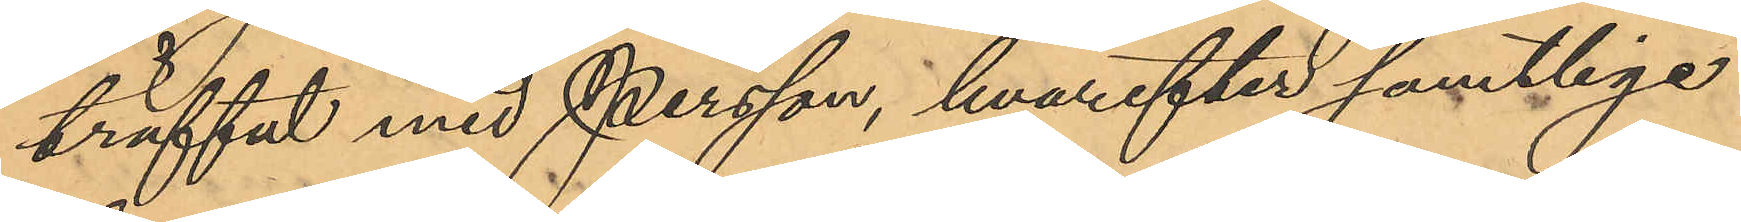träffat med Persson, hvarefter samtlige
